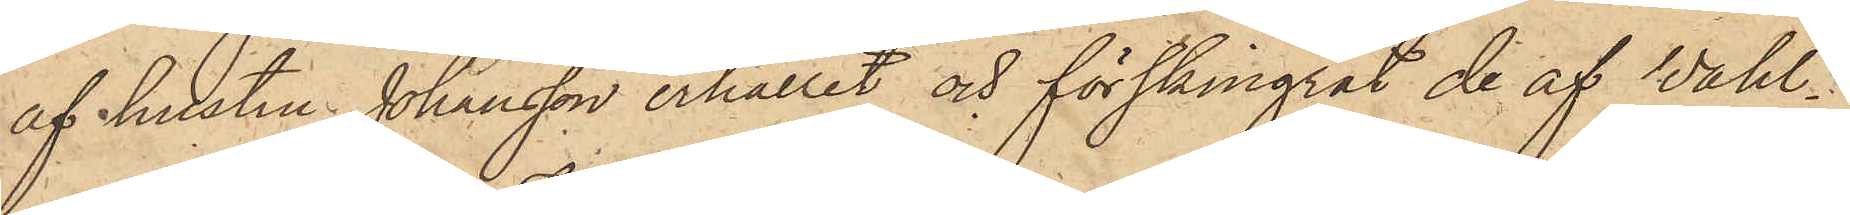af hustru Johansson erhållit och förskingrat de af Wahl¬
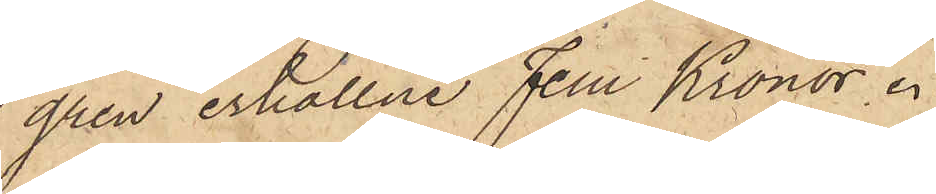gren erhållne Fem Kronor.
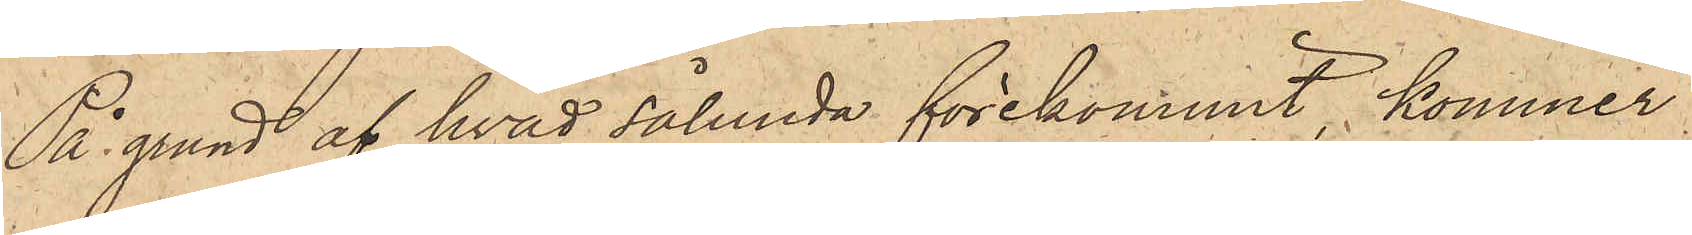På grund af hvad sålunda förekommit, kommer
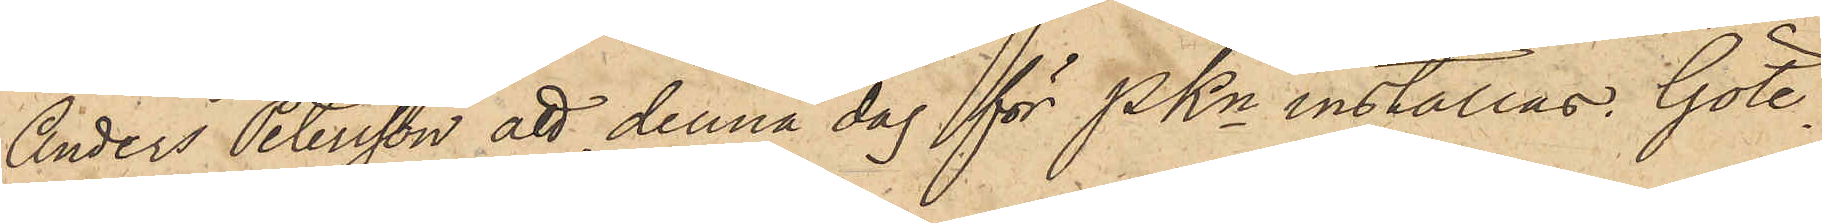Anders Petersson att denna dag för PKn inställas. Göte¬
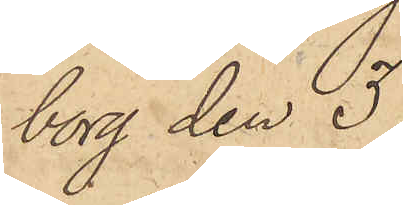borg den 3
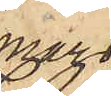mars
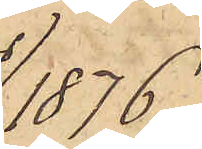1876
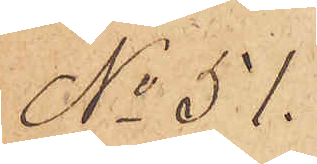No 51.
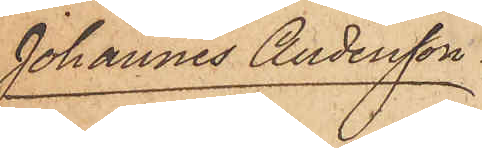Johannes Andersson
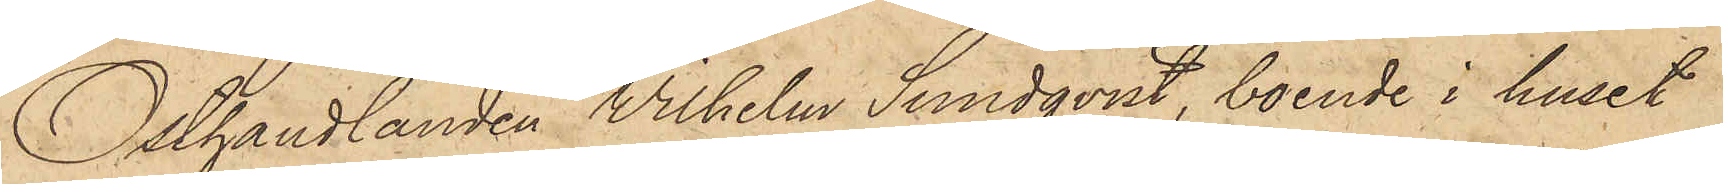Osthandlanden Wilhelm Sundqvist, boende i huset
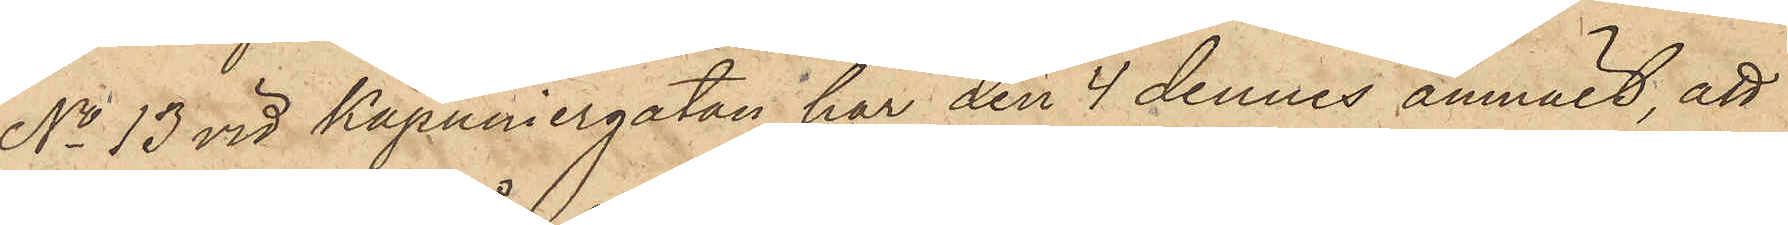No 13 vid Kapuniergatan har den 4 dennes anmält, att
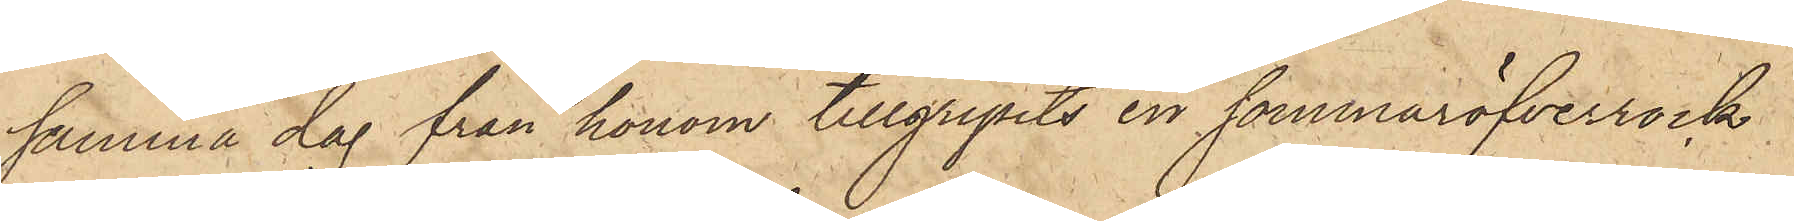samma dag från honom tillgripits en sommaröfverrock
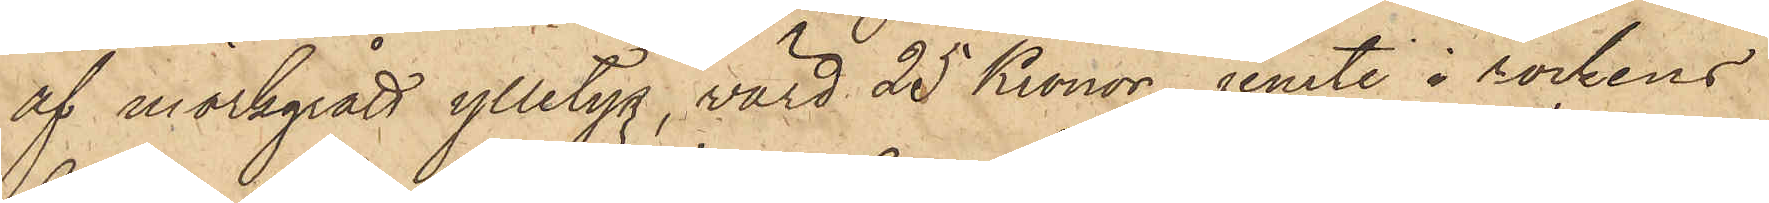af mörkgrått ylletyg, värd 25 Kronor, jemte i rockens
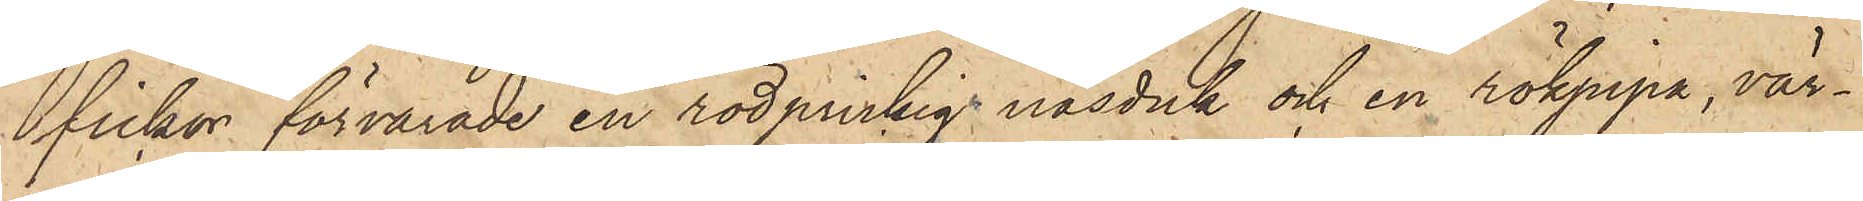fickor förvarade en rödprickig näsduk och en rökpipa, vär¬
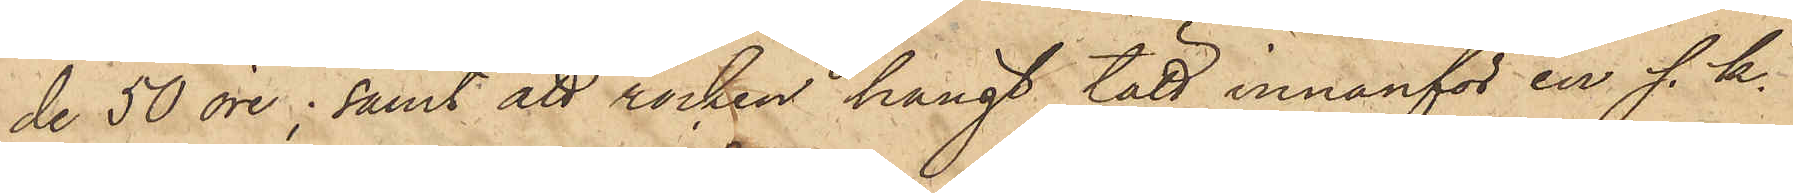de 50 öre; samt att rocken hängt tätt innanför en s. k.
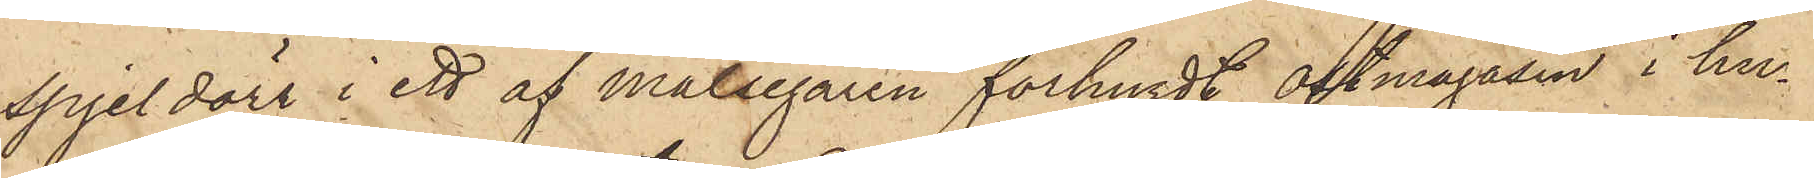spjeldörr i ett af målsegaren förhyrdt ostmagasin i hu¬
